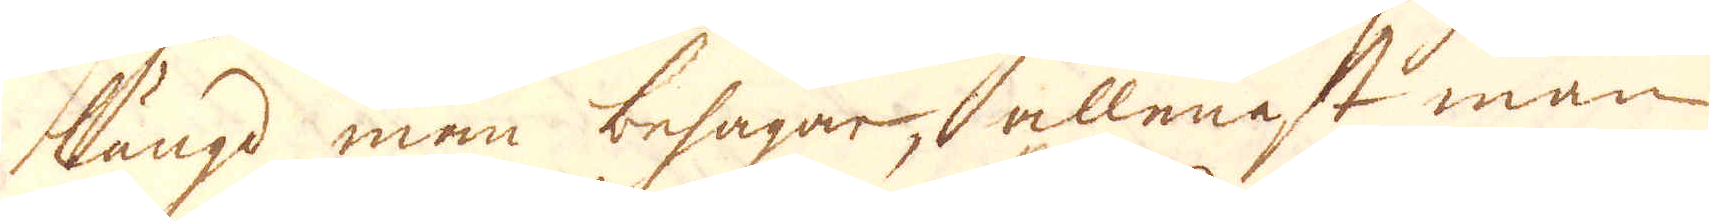längd man behagar, allenast man
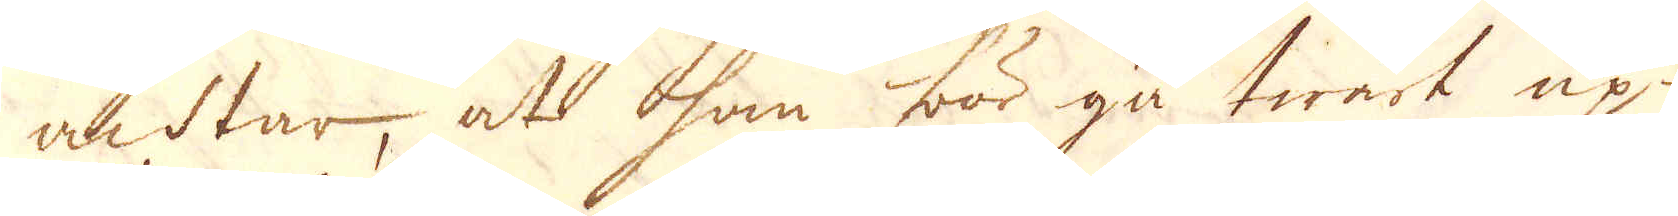achtar, at han bör gå twärt up-
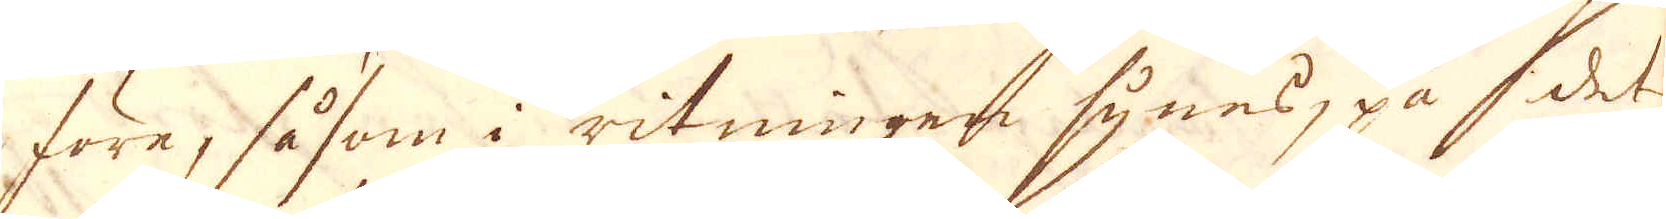före, såsom i ritningen synes, på del
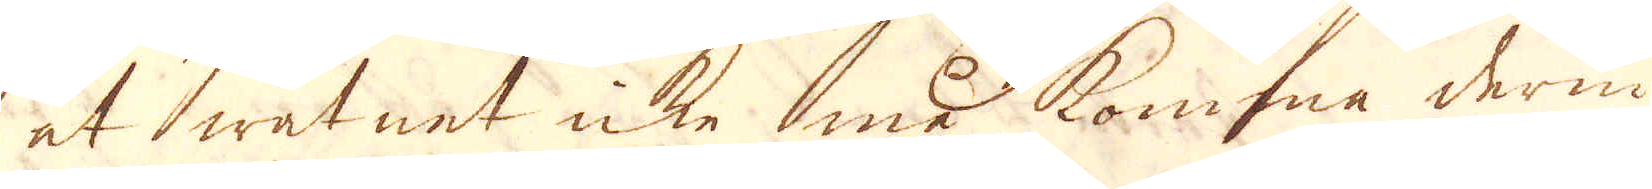at watnet icke må komma derin.
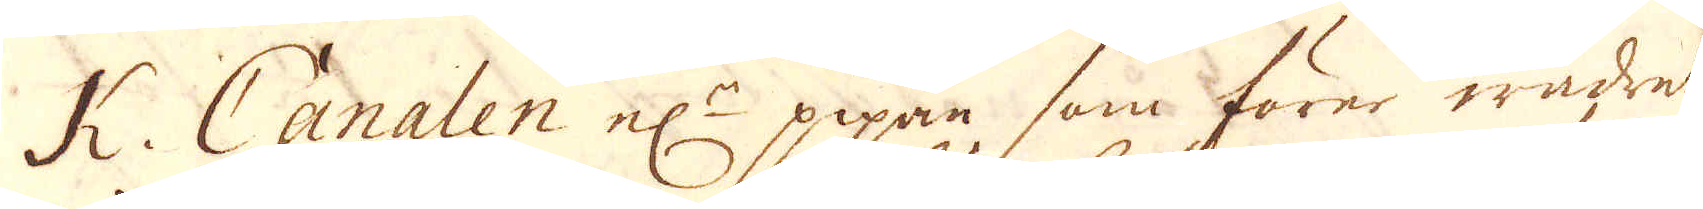K. Canalen el:r pipan som förer wädret
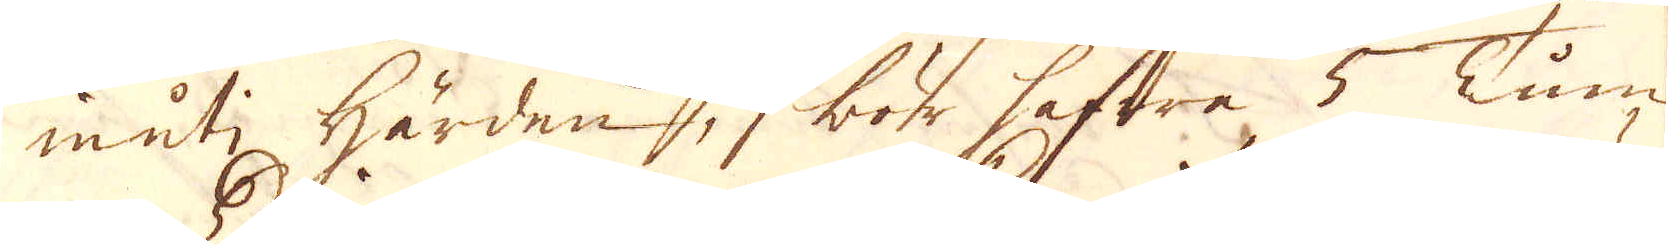inuti härden, bör hafwra 5 Tum
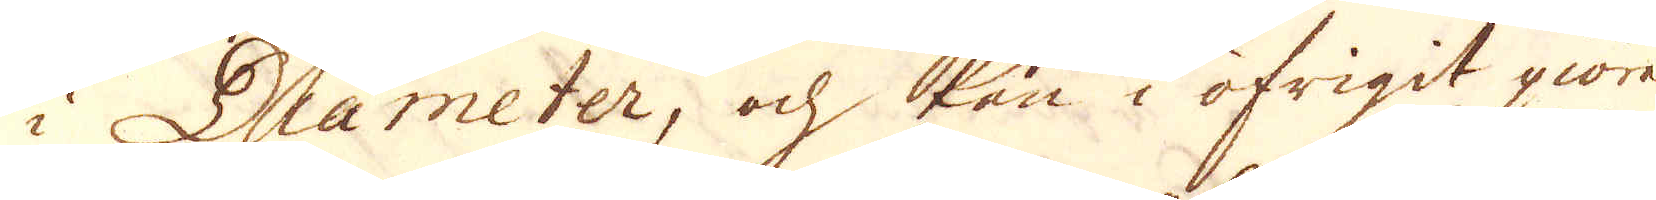i Diameter, och kan i öfrigit giöras
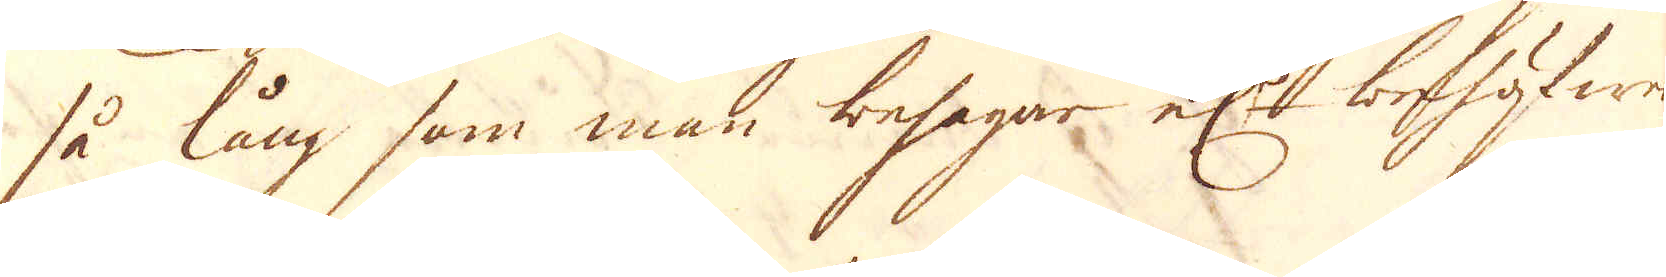så lång som made behagar el:r behöfwer
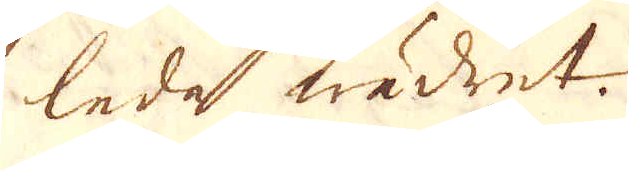leda wädret.
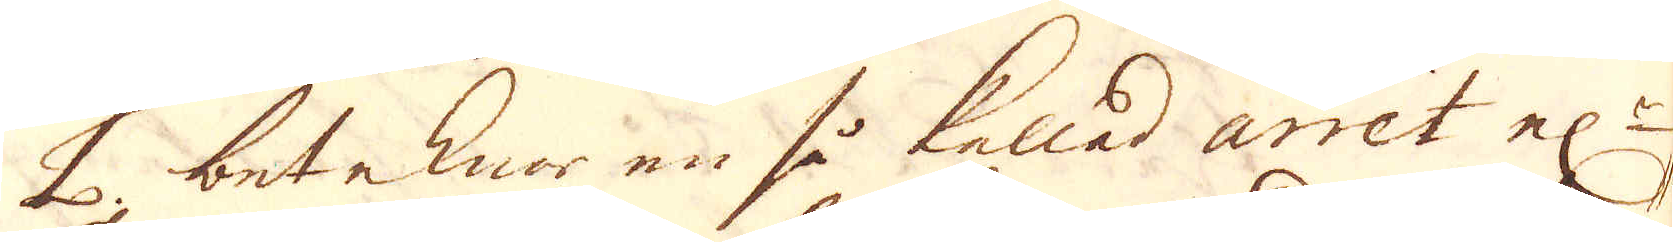L. beteknar en så kallad arret el:r
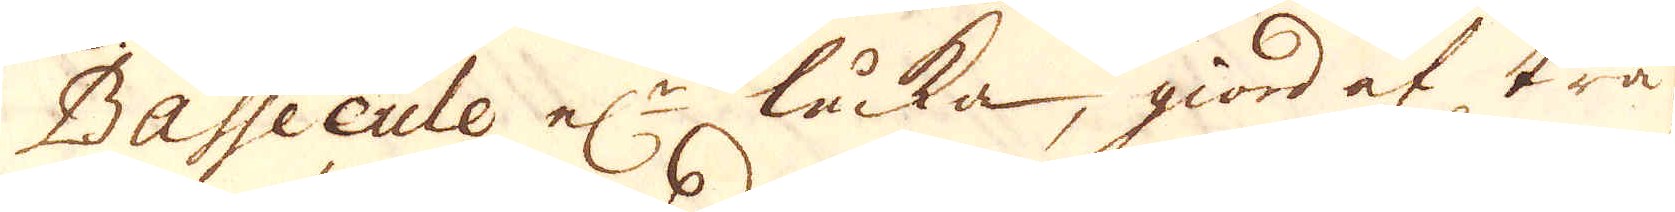Bassecule el:n, läcka, giord af trä
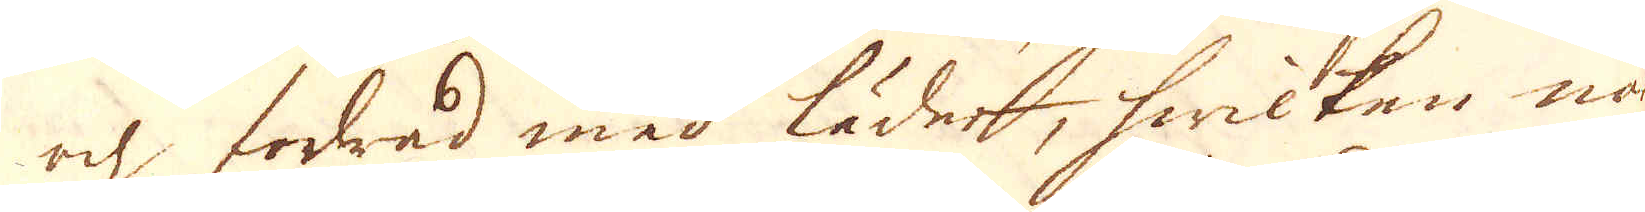och fodrad med läder, hwilken när
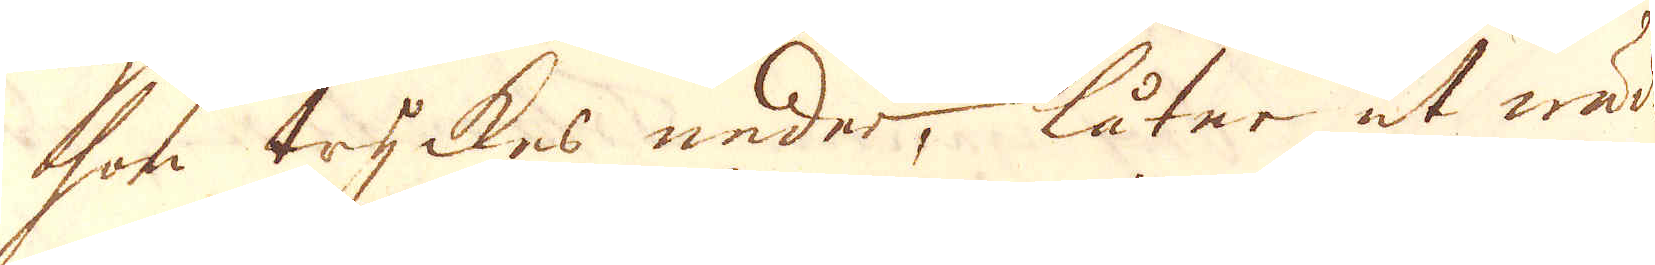hon tryckes neder, låter ut wäder
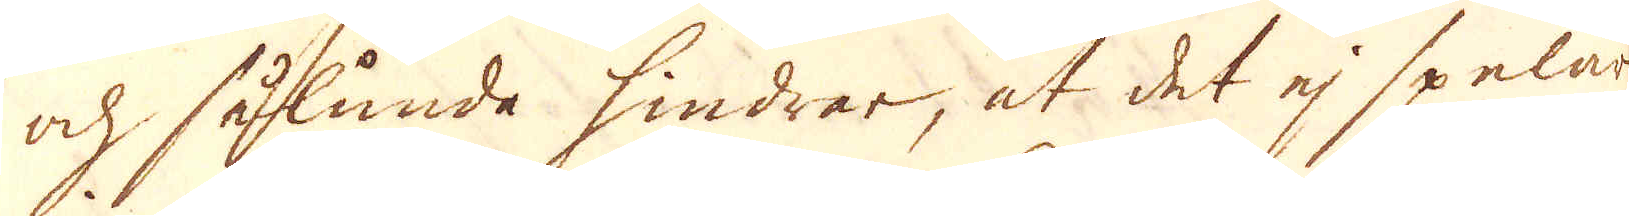och sålunda hindrar, at det ej spelar
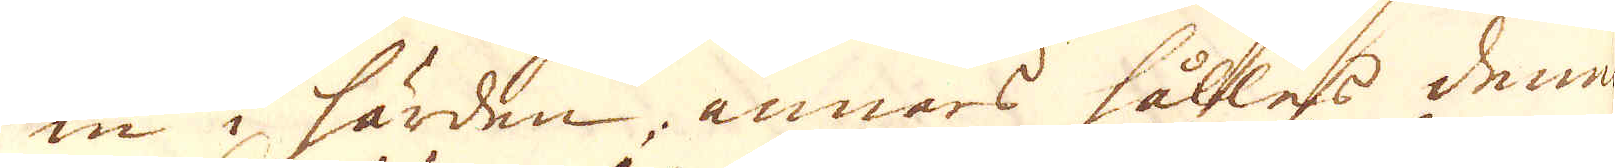in i färden, annars hålles denna
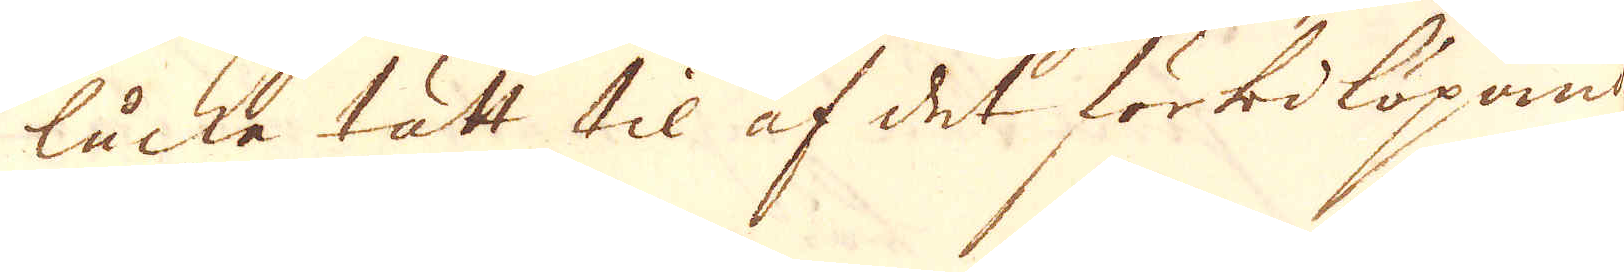läcka tätt til af det förbilöpande
